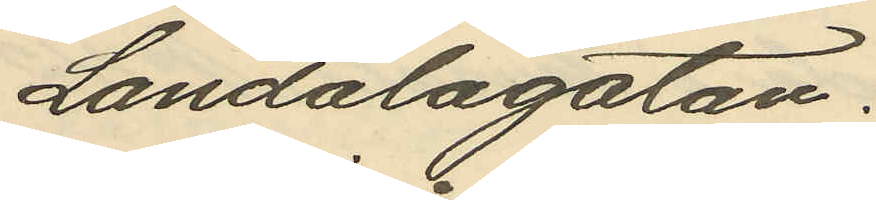Landalagatan.
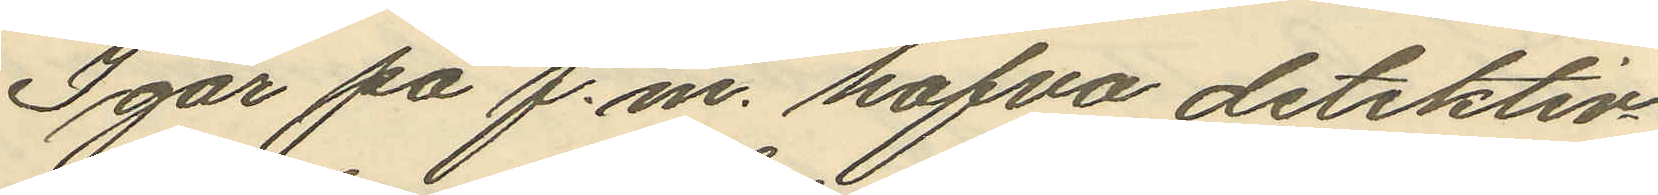Igår på f.m. hafva detektiv¬
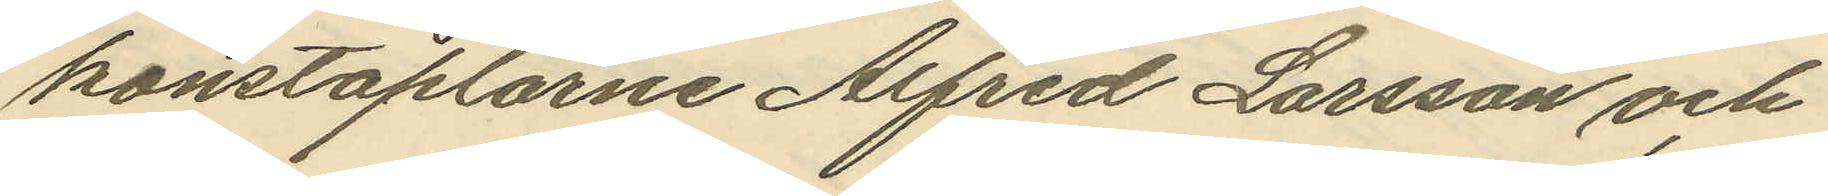konstaplarne Alfred Larsson och
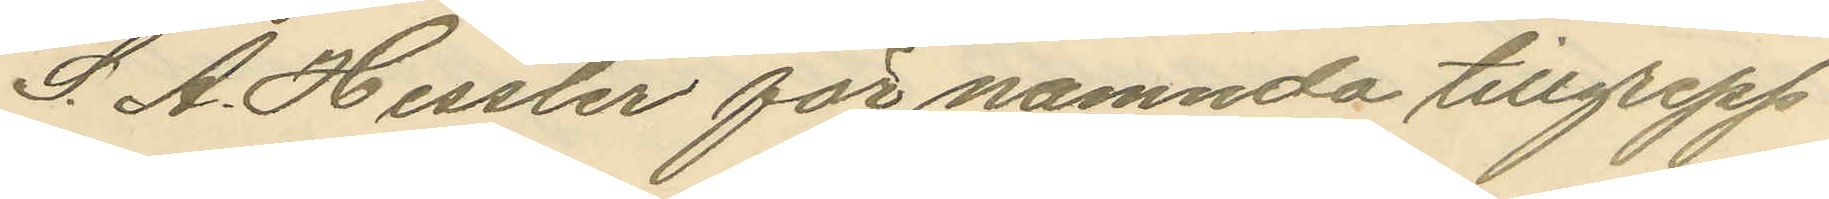S. A. Hessler för nämnda tillgrepp
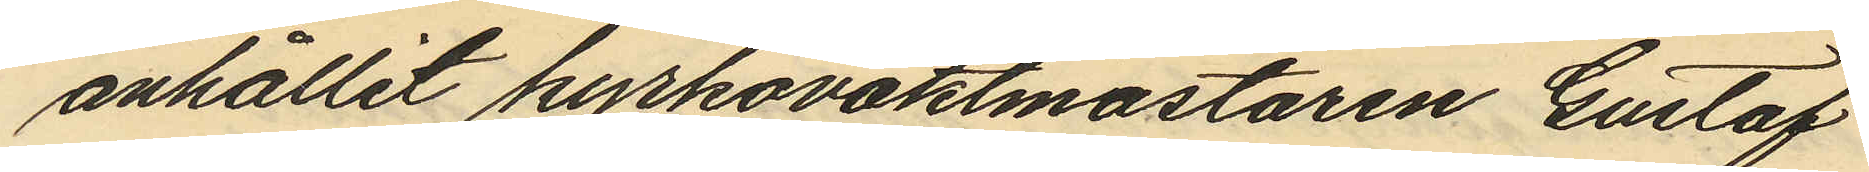anhållit kyrkovaktmästaren Gustaf
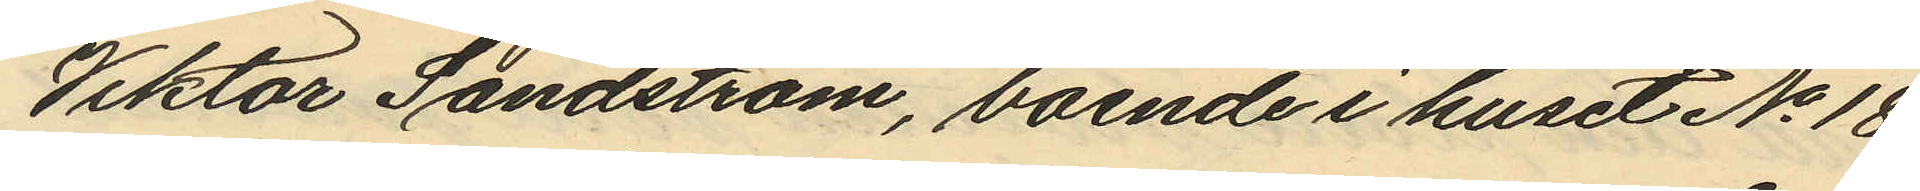Viktor Sandström, boende i huset No 18
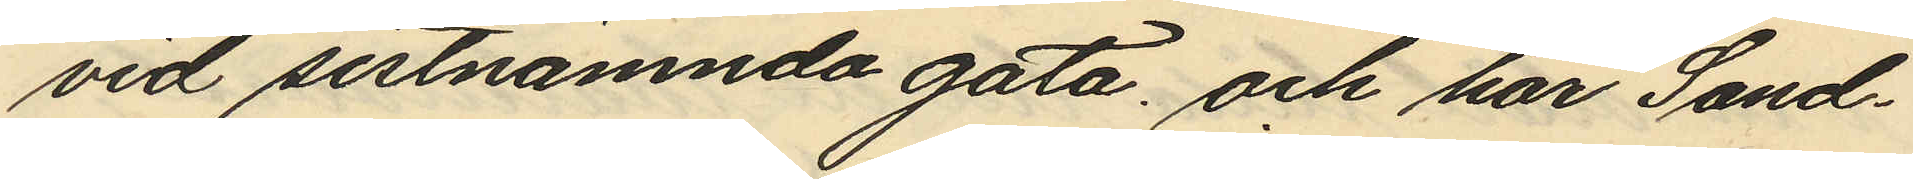vid sistnämnda gata, och har Sand¬
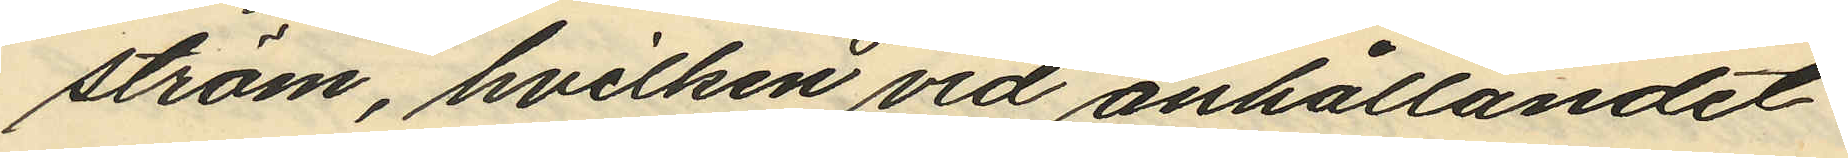ström, hvilken vid anhållandet
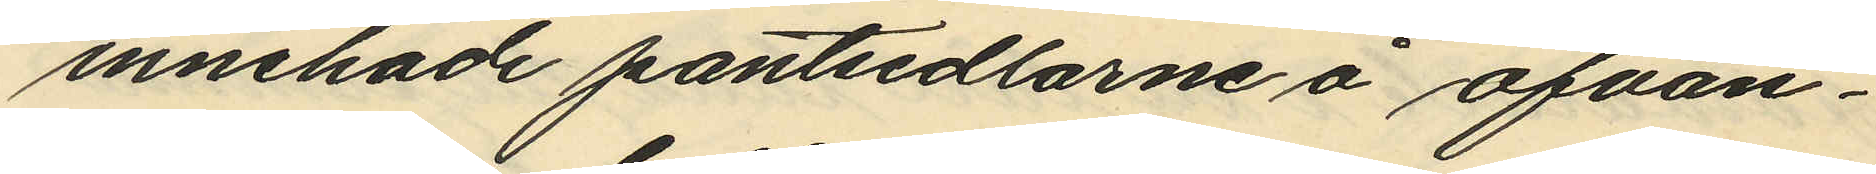innehade pantsedlarne å ofvan¬
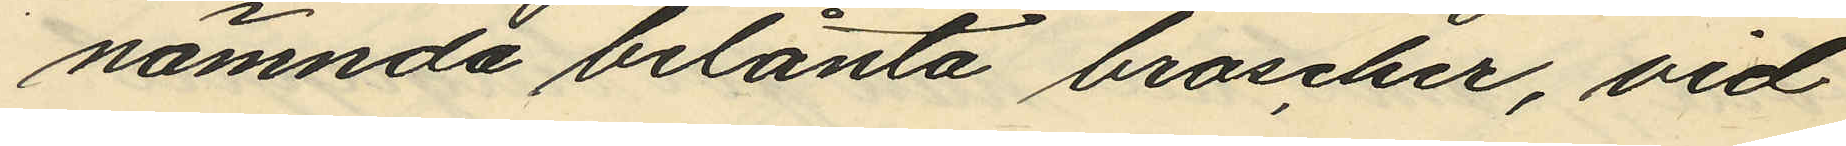nämnda belånta broscher, vid
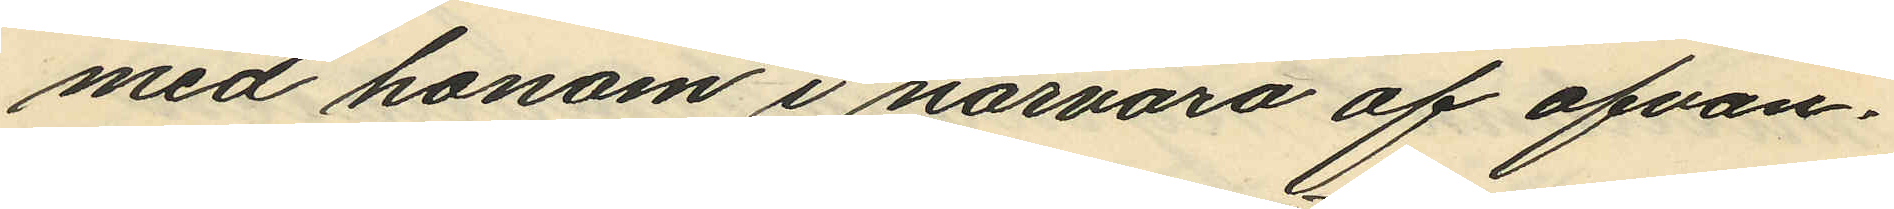med honom i närvaro af ofvan¬
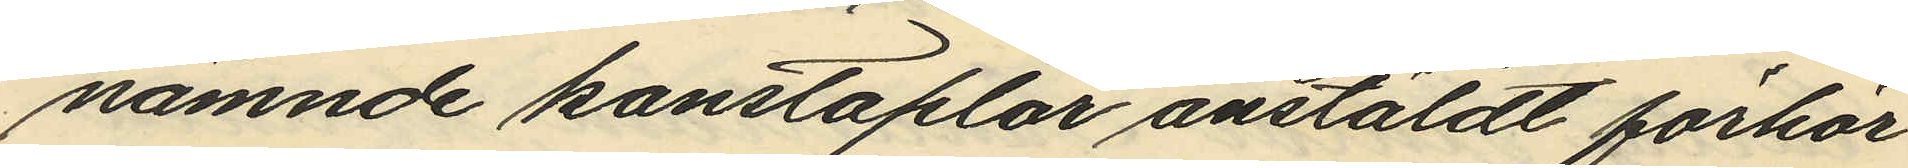nämnde konstaplar anstäldt förhör
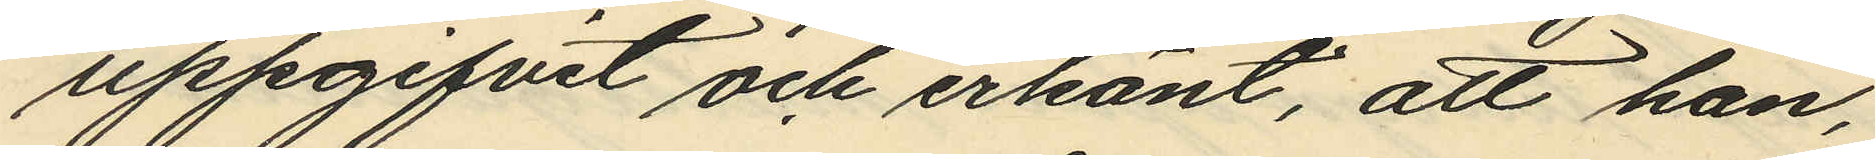uppgifvit och erkänt, att han,
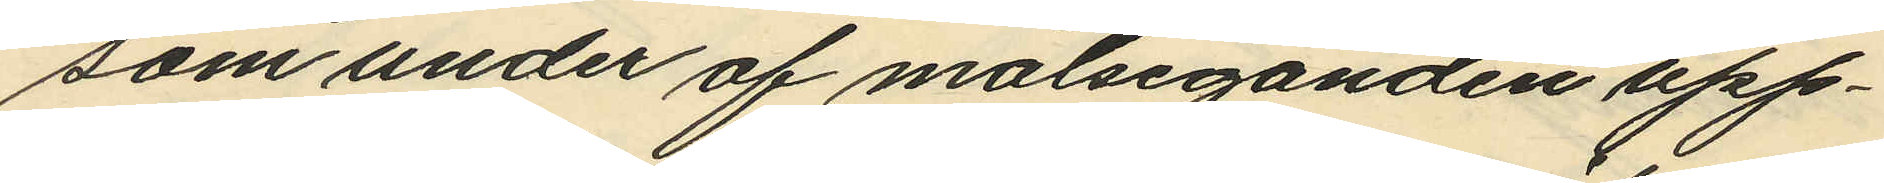som under af målseganden upp¬
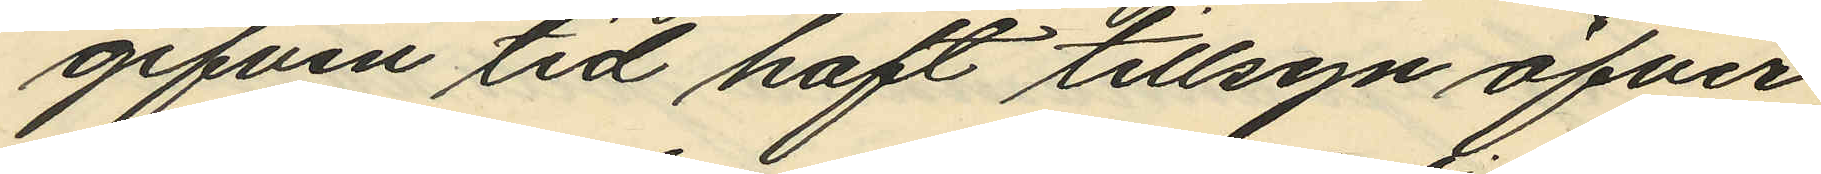gifven tid haft tillsyn öfver
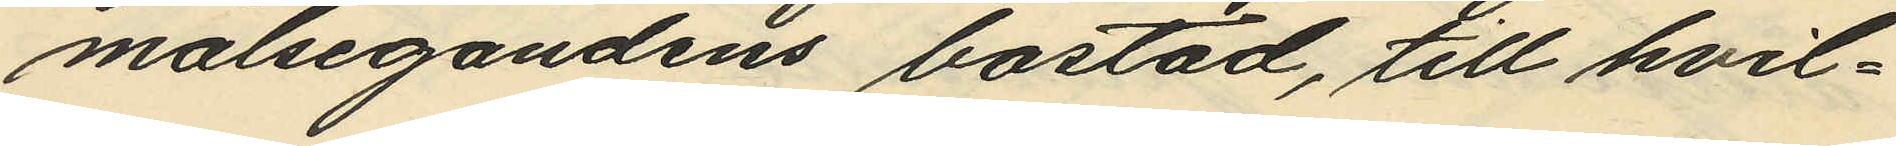målsegandens bostad, till hvil¬
